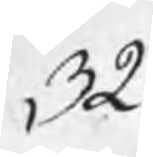32
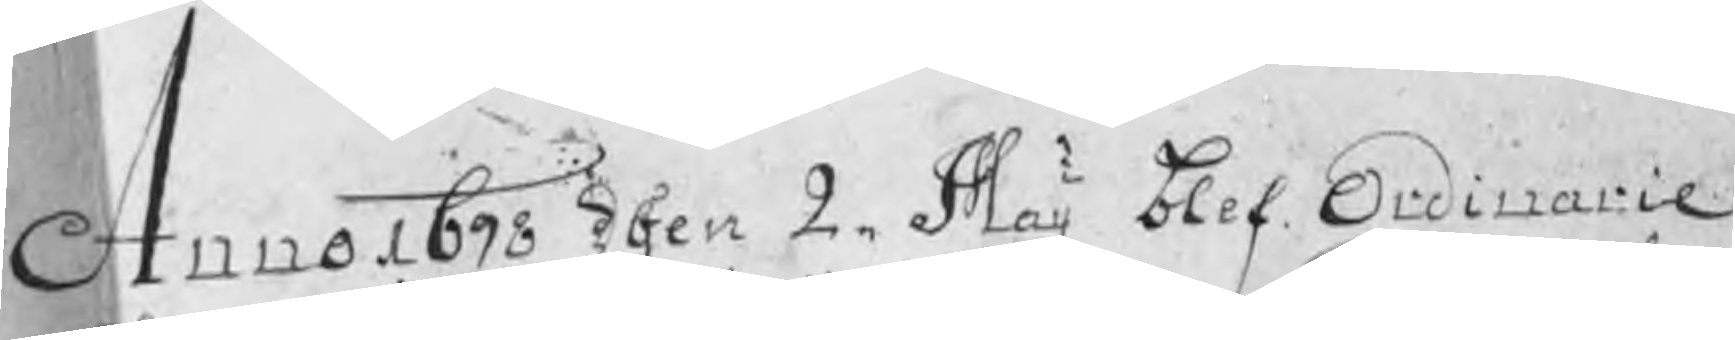Anno 1698 dhen 2 Maij blef Ordinarie
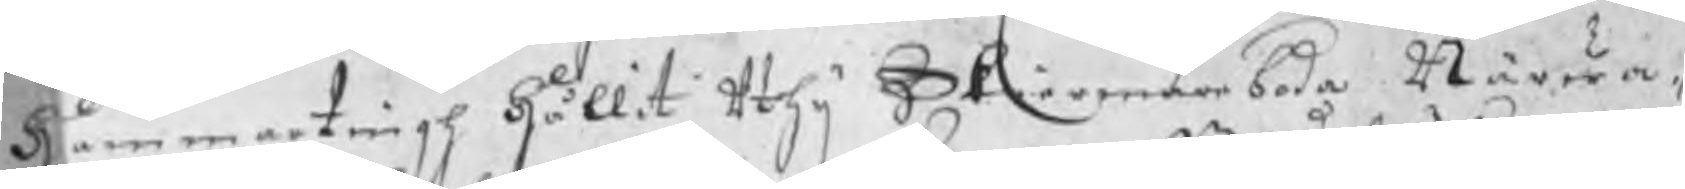hammartingh hållit ythi Skiermarboda Närwa¬
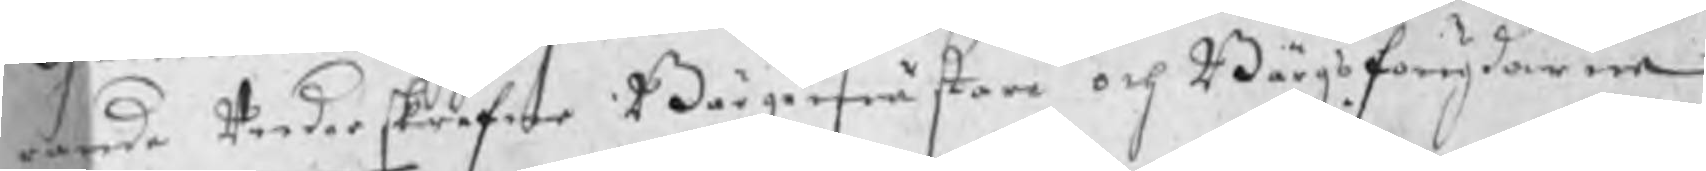rande underskrefne Bärgemästare och Bärgsfougdarne 
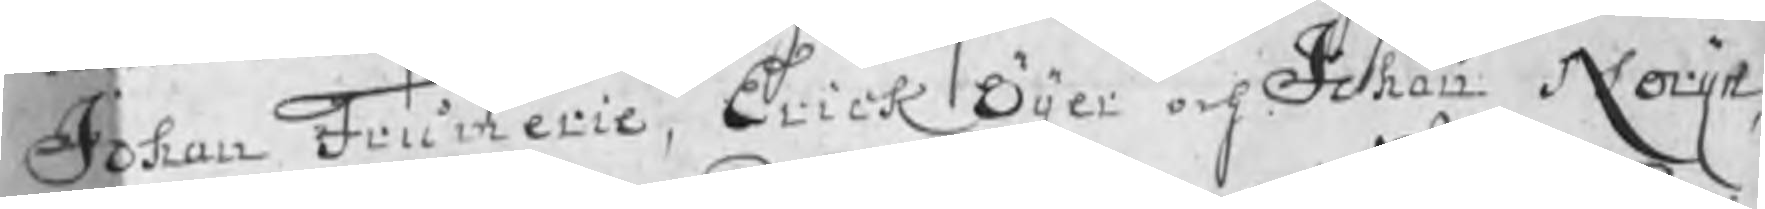Johan Frumerie, Erick Öijer och Johan Notijn,
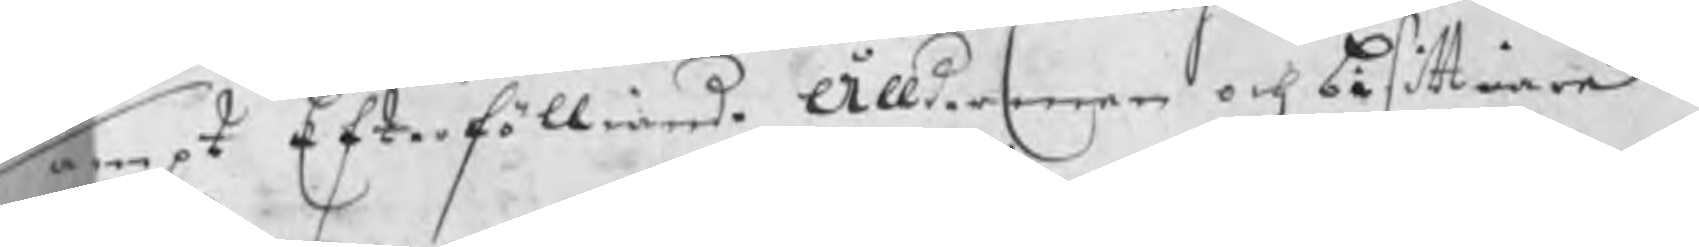sampt Efterfölliande Ållderman och bisittiare
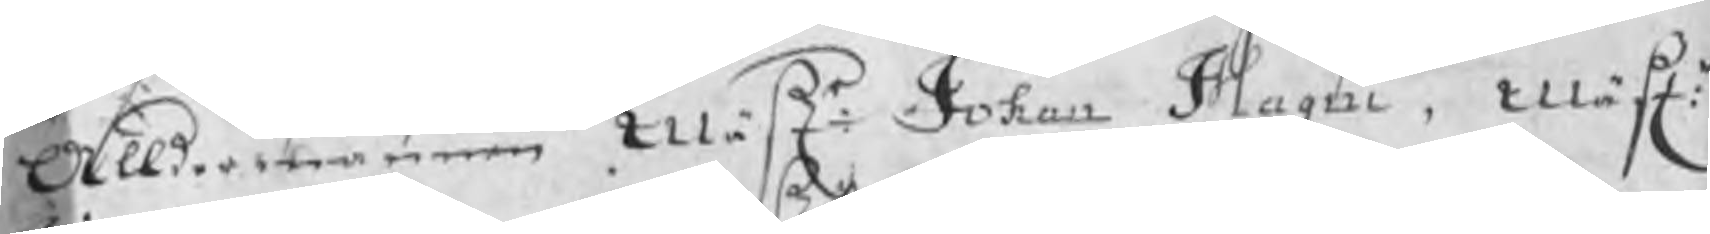Ålldermannen Mästr: Johan Magni, Mästr:
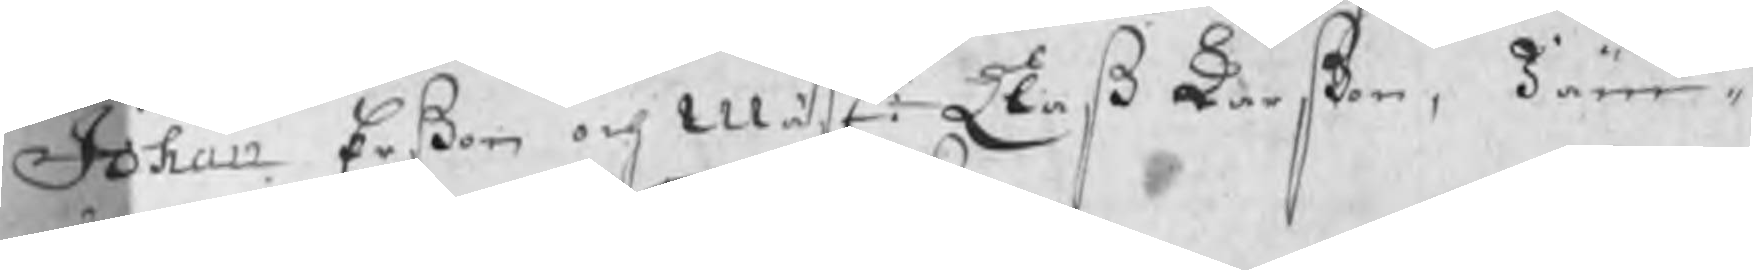Johan Erßon och Mästr: Claß Larßon, Jäm¬
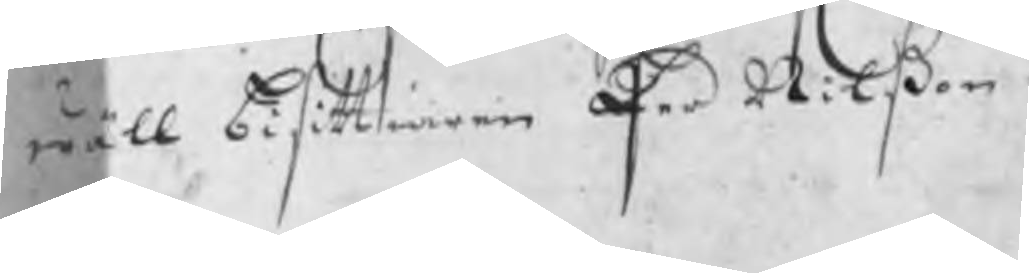wäll bisittiaren Per Nilßon.
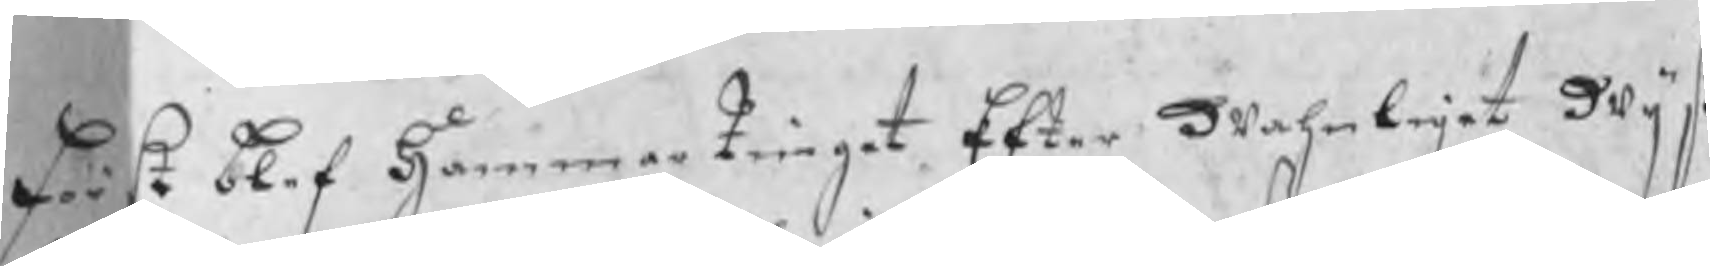Först blef HammarTinget Efter wahnlejet Wijß
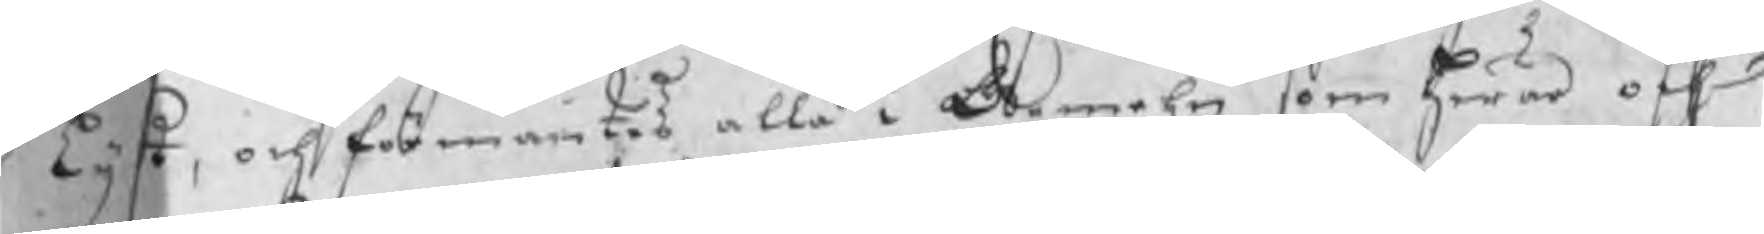Lyst, och förmantes alla i Gemehn som hwar och
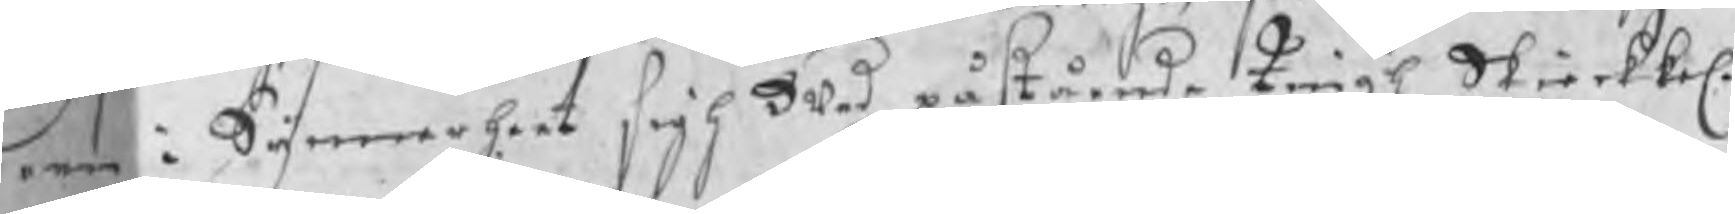een i Synnerheet sigh wed påstående Tingh Skierkkel.
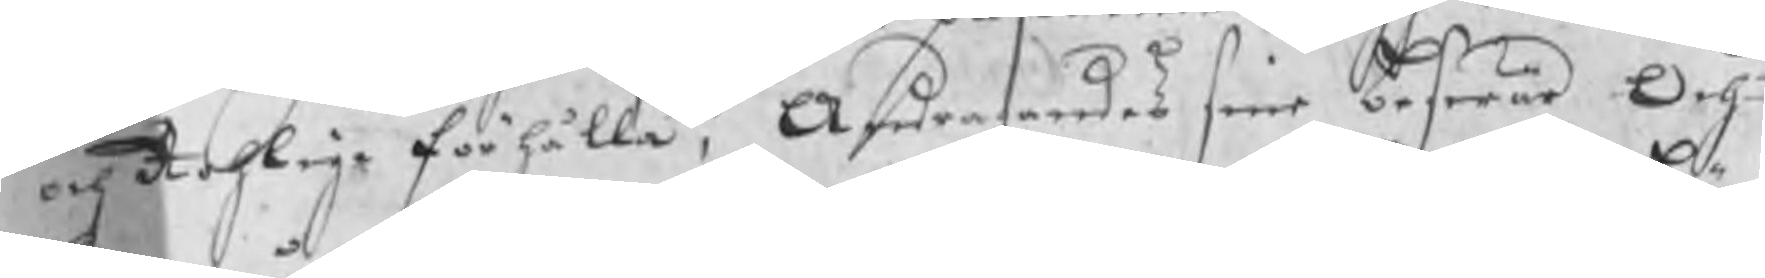och Rohlige förhålla, Andragandes sine beswär Och
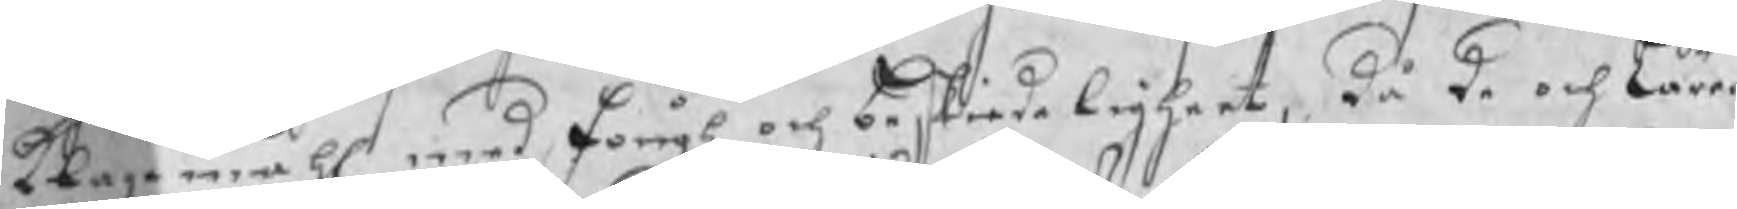klagomåhl med Fångh och beskiedeligheet, då de och lärer
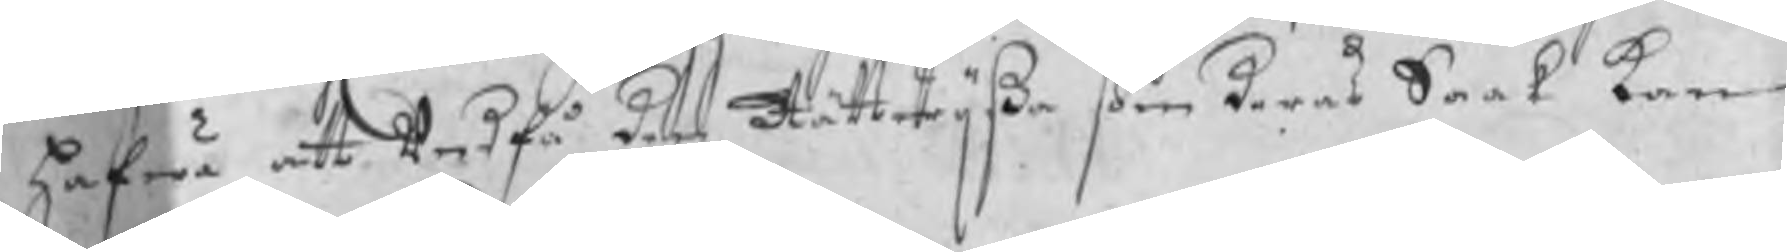hafwa att undfå den Rättwijßa som deras Saak kan
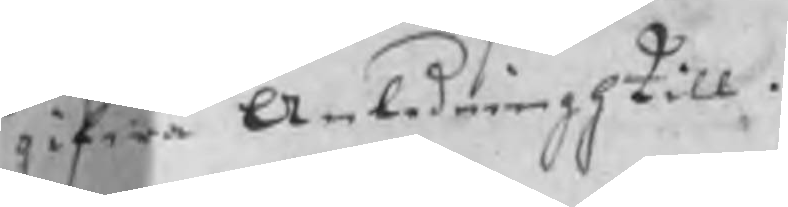gifwa Anledningh till.
